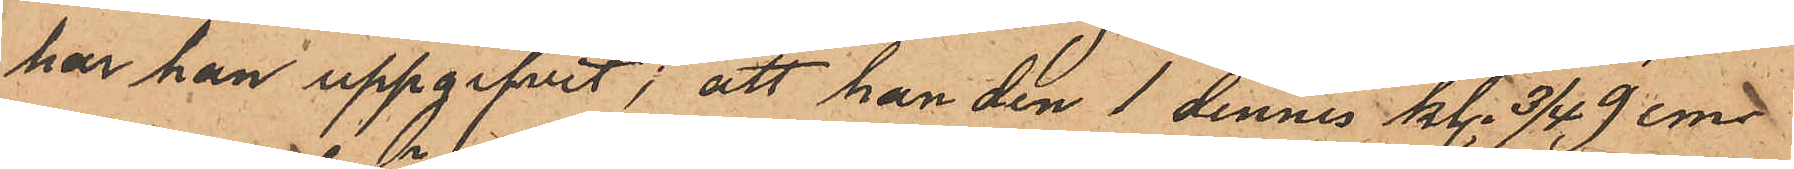har han uppgifvit; att han den 1 dennes kl. 3/4 9 em
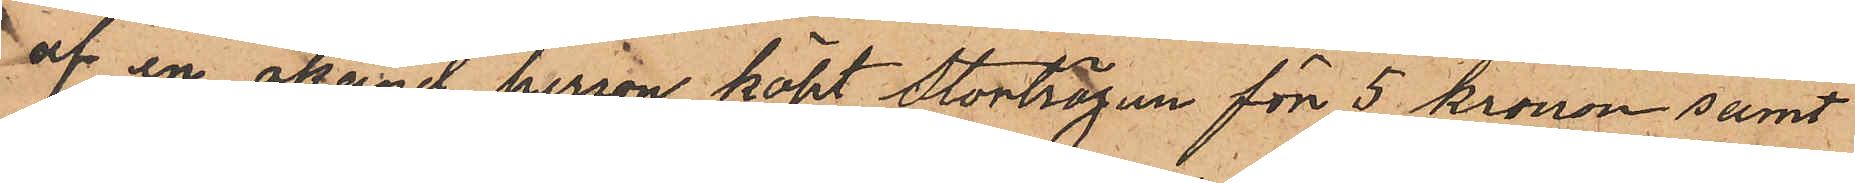af en okänd person köpt Stortröjan för 5 kronor samt
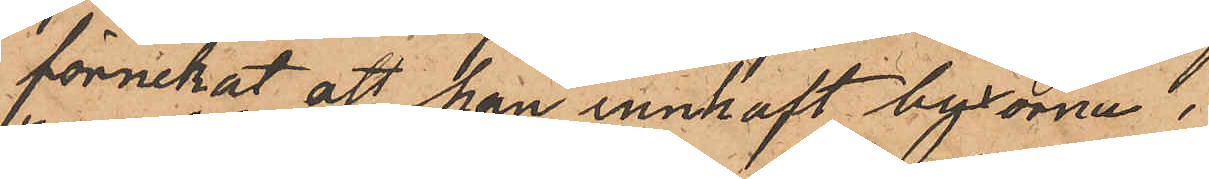förnekat att han innhaft byxorna.
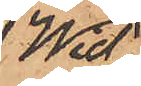Wid
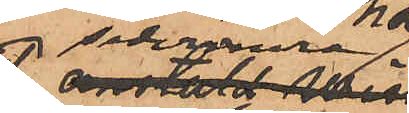sedermera
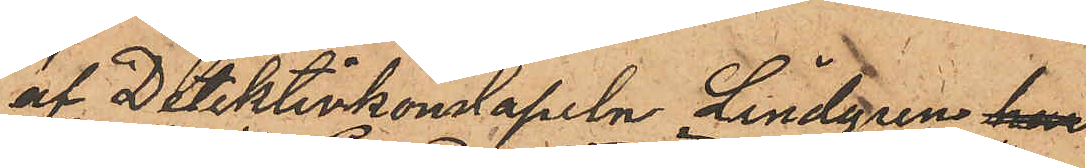af Detektivkonstapeln Lindgren hem
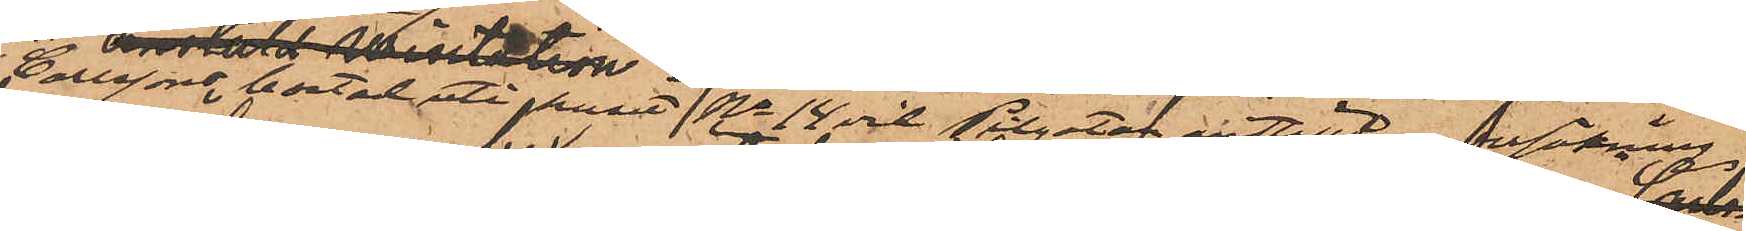i Carlssons bostad uti huset No 14 vid Pilgatan anställd undersökning
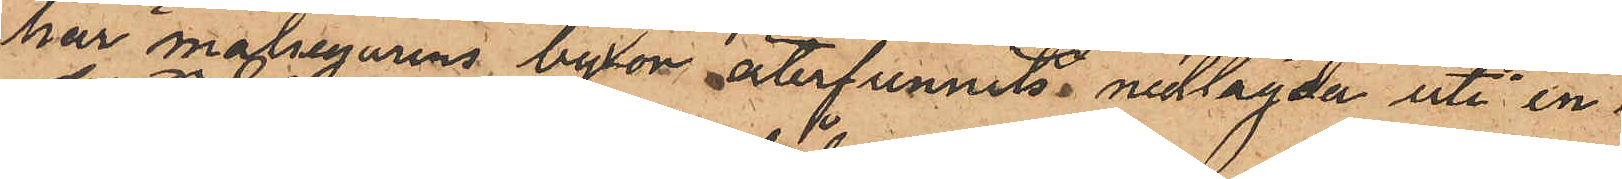har målsegarens byxor återfunnits nedlagda uti en
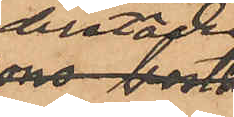derstädes
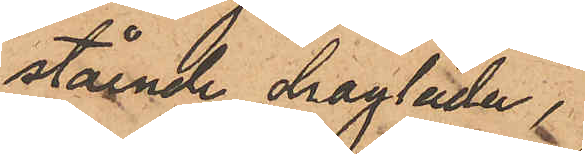stående draglåda.
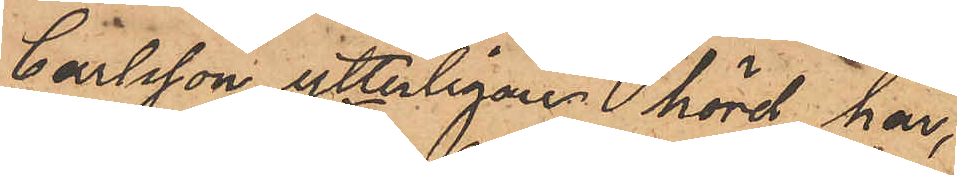Carlsson, ytterligare hörd, har,
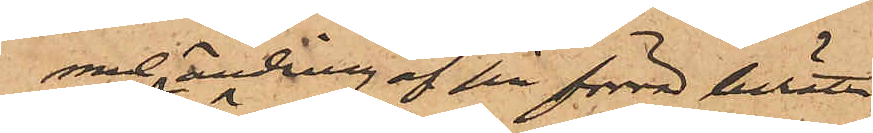med ändring af sin förra berät¬
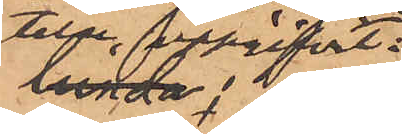telse uppgifvit:
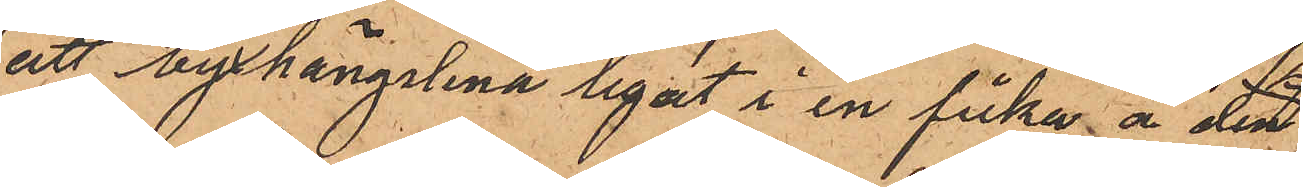att byxhängslena legat i en ficka å den
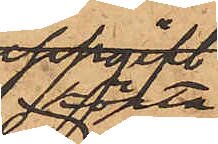köpta
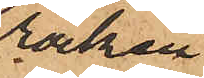rocken
